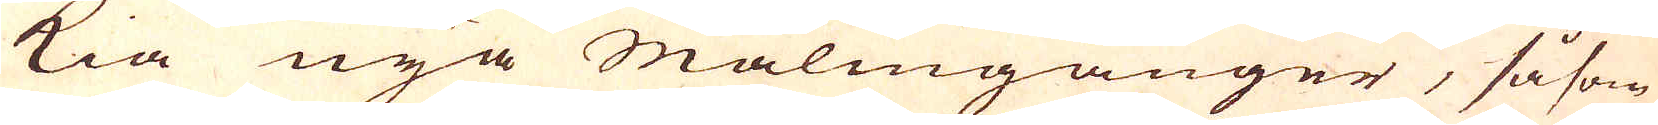kia nya Malmgånger, såsom
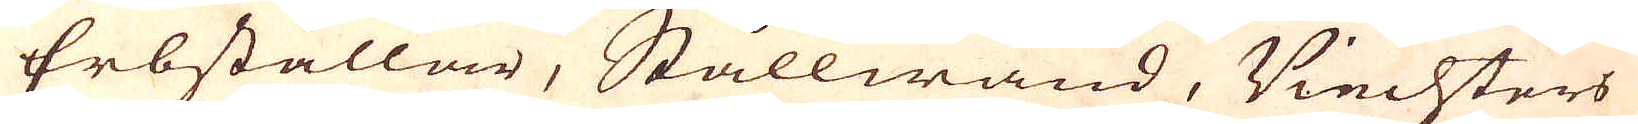Erbstållar, Stållwänd, Viechters
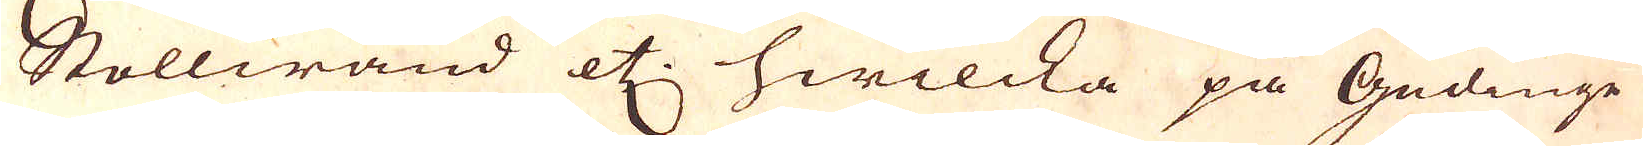Stollwand etc: hwilcka på Gudinge
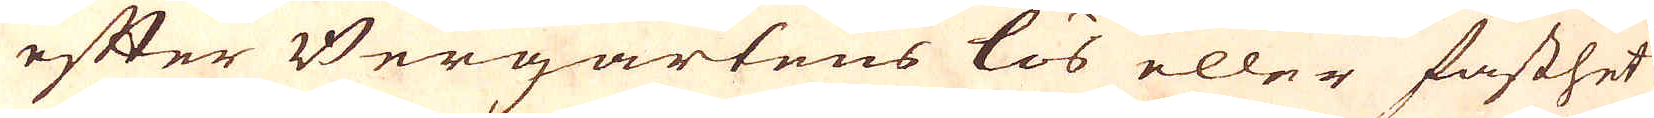efter Bergartens lös eller fasthet
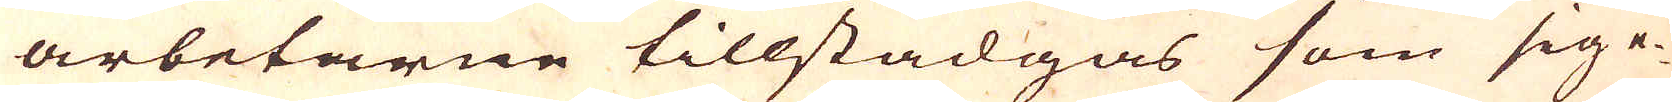arbetarne tillstadgas som sig e-
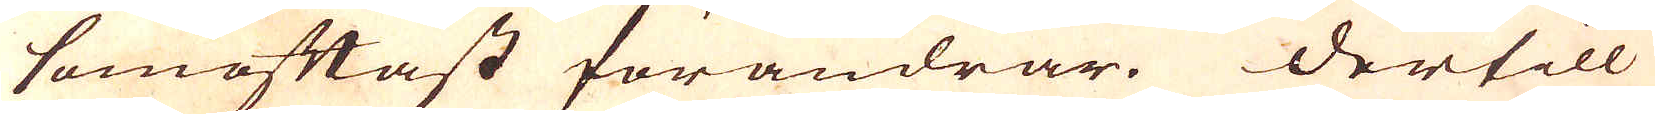somoftast förändrar. Dertill
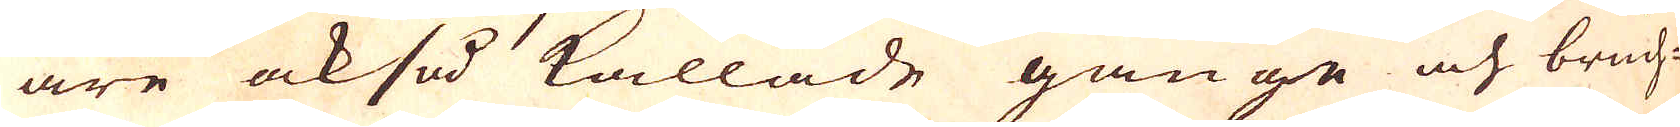äre också kallade gänge och bruch-
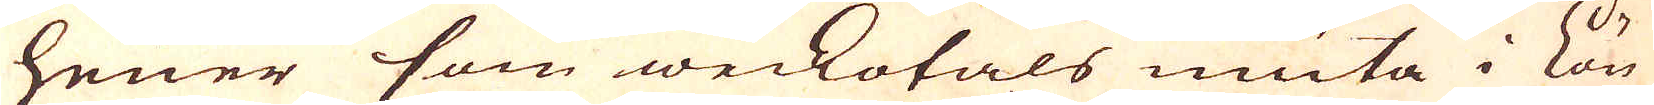heuer som weckotals niuta i lön
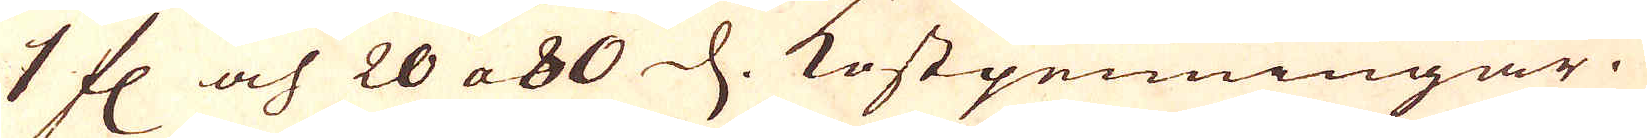1 fl. och 20 a 80 d. kostpenningar.
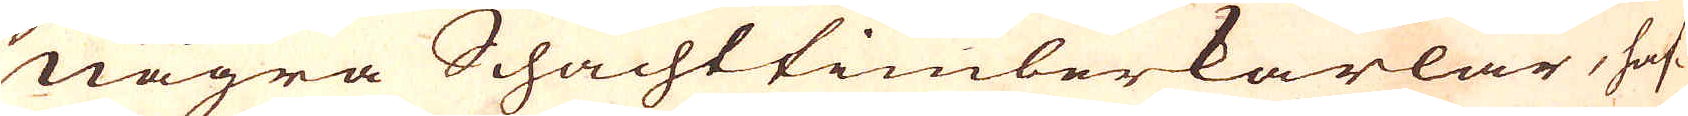Några Schachttimberkarlar, haf-
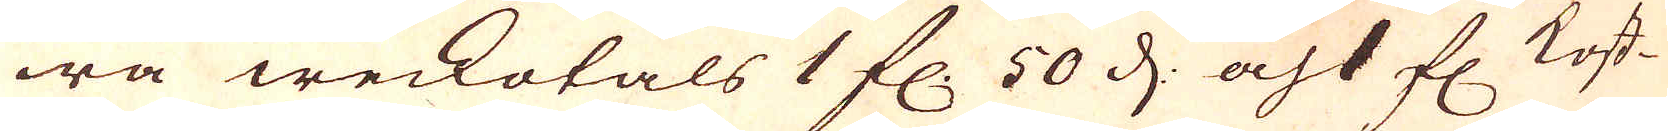wa weckotals 1 fl. 50 d: och 1 fl:. Kost-
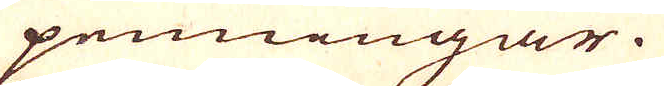penningar.
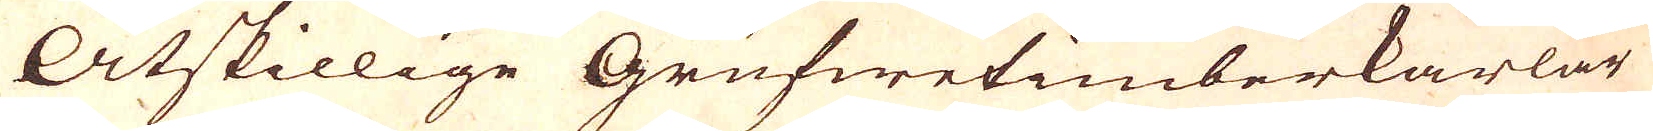Åtskillige Grufwetimberkarlar
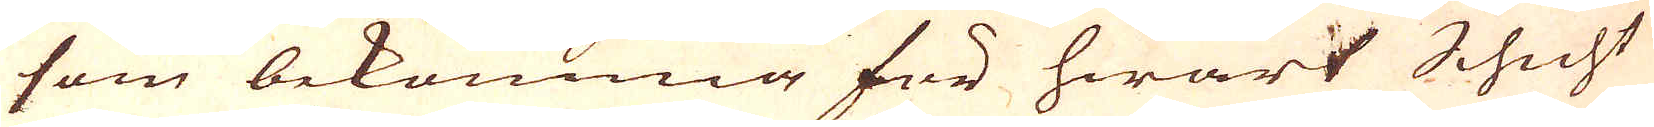som bekomma för hwart Schicht
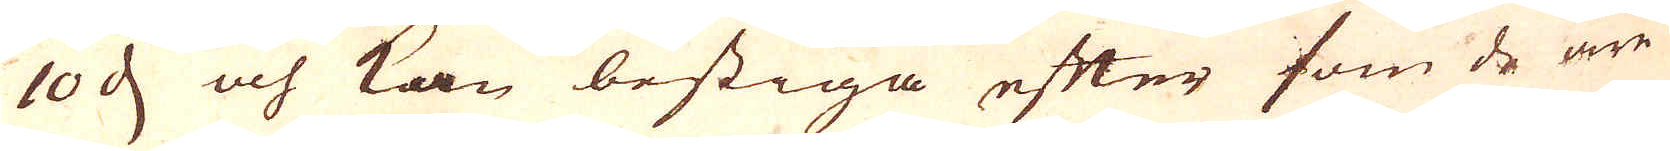10 d och kan bestiga efter som de äre
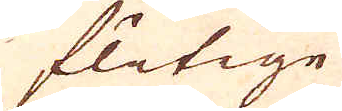flitige
